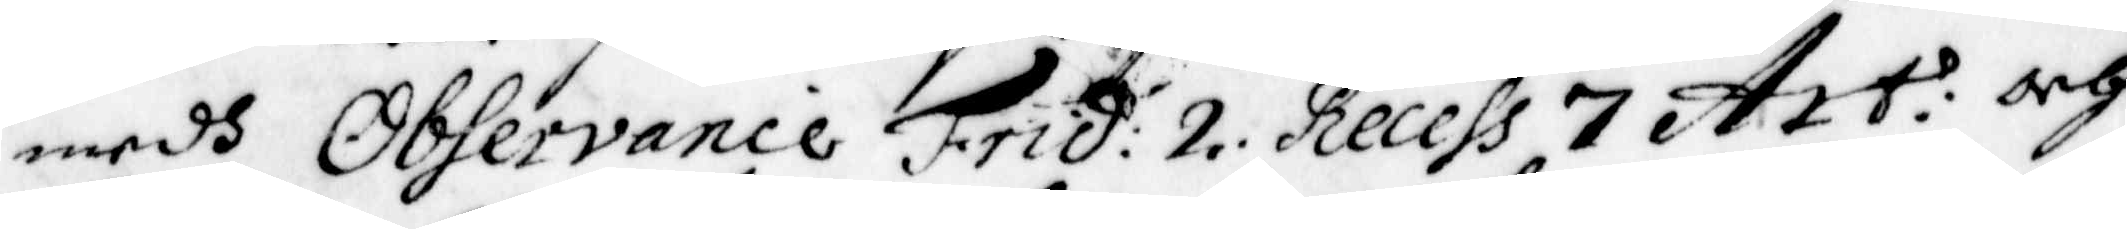medh Observance Frid: 2. Recess 7 Att: och
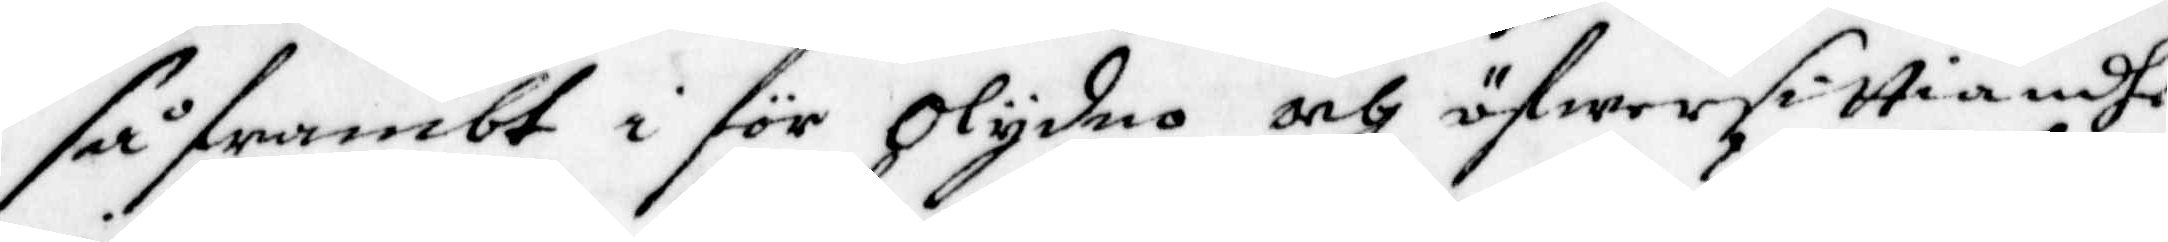så frambt i för Olydno och öfwersittiande
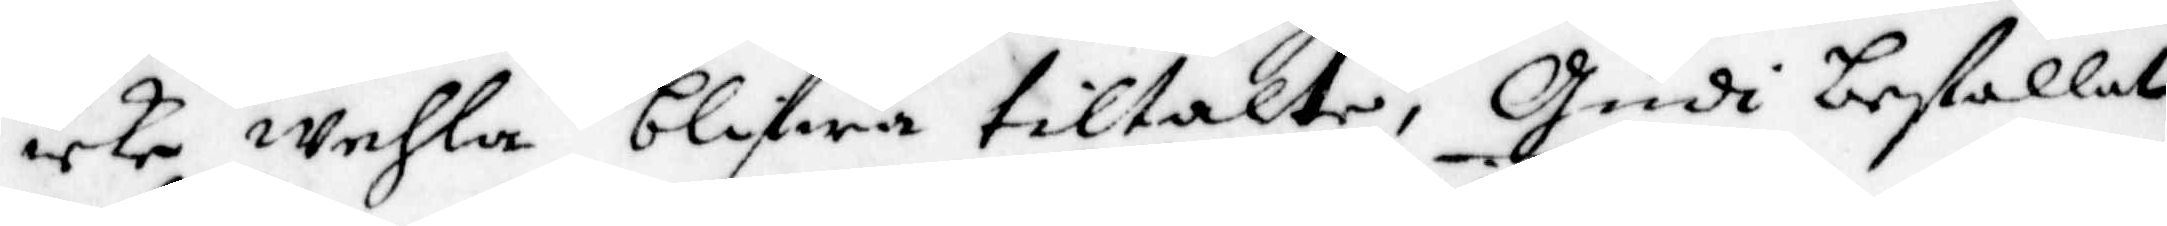icke wehla blifwa tiltalte, Gudi befallas,
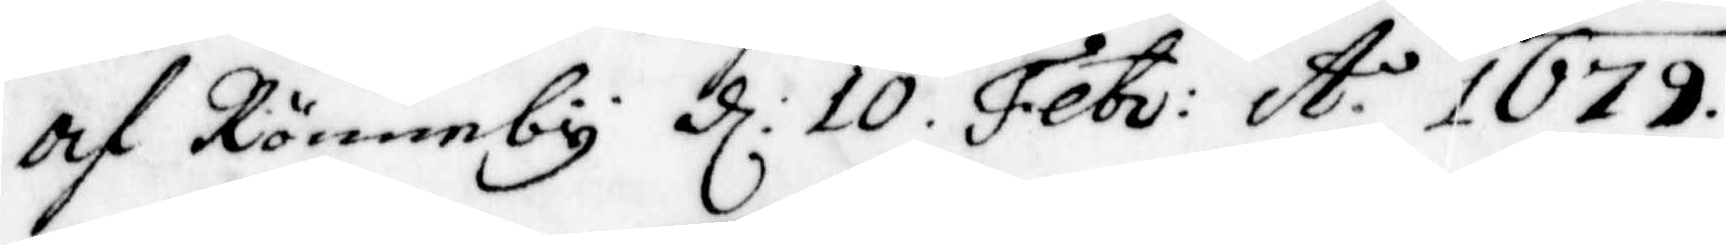af Rönneby d: 10 Febr: A:o 1679.
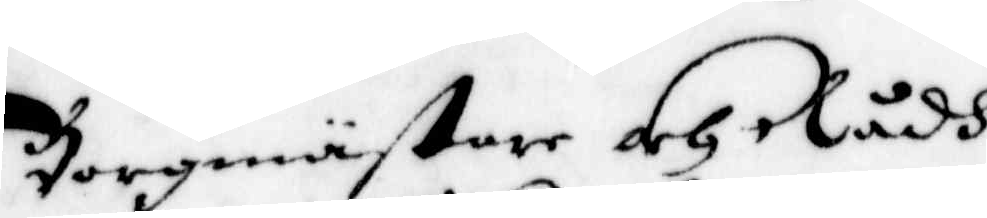Borgmästare och Rådh.
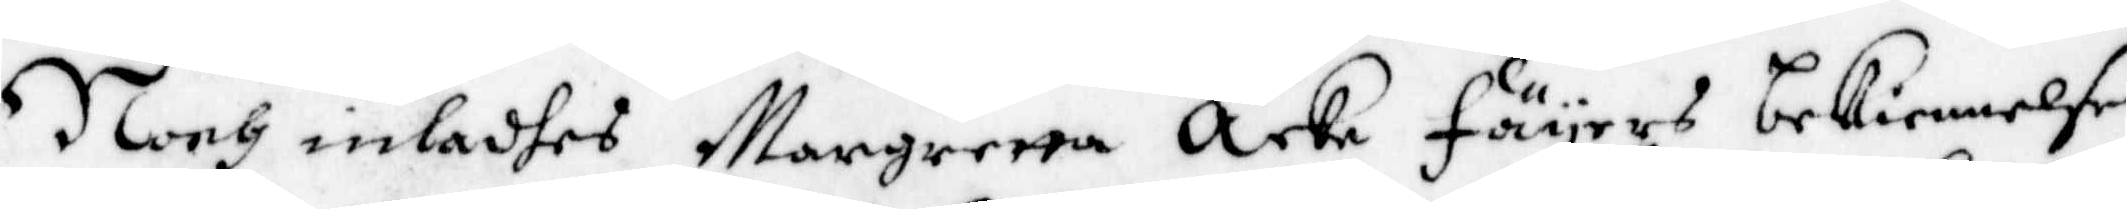Noch inladhes Margretta Åcke Fäyers bekiennelse,
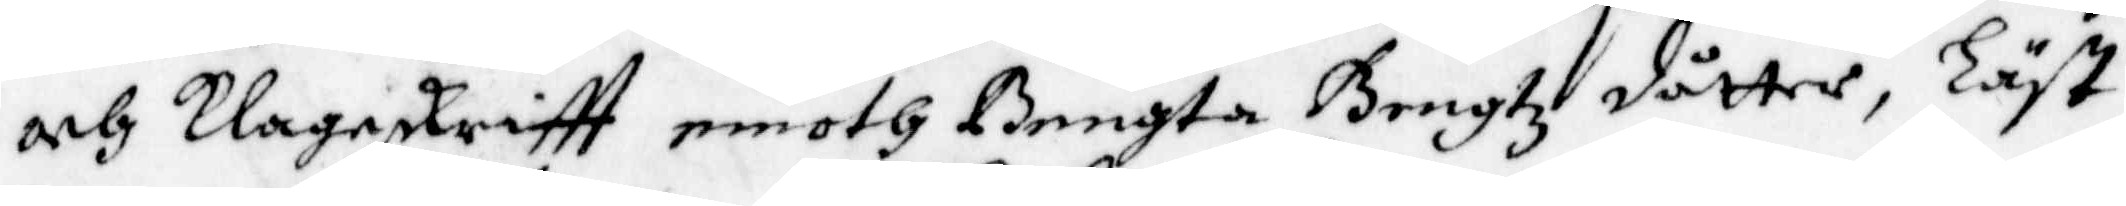och Klageskriftt emoth Bengta Bengtz dåtter, Läst
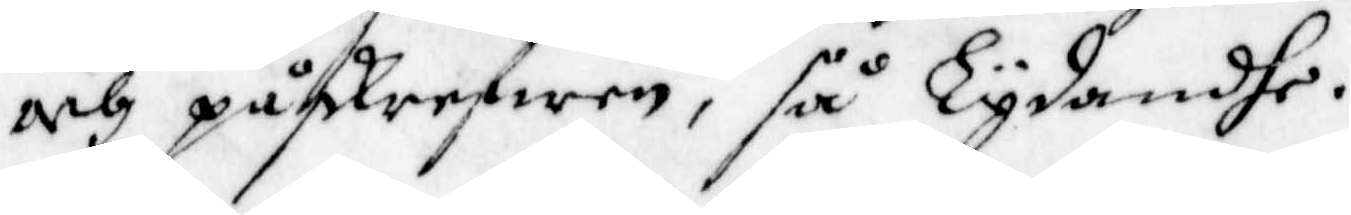och påskrefwen, så Lydande.
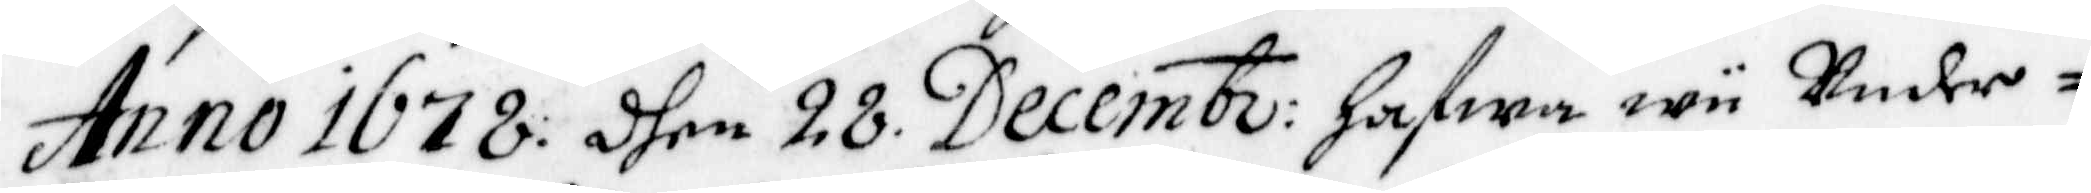Anno 1678. dhen 28 Decemb: hafwa wii Under¬
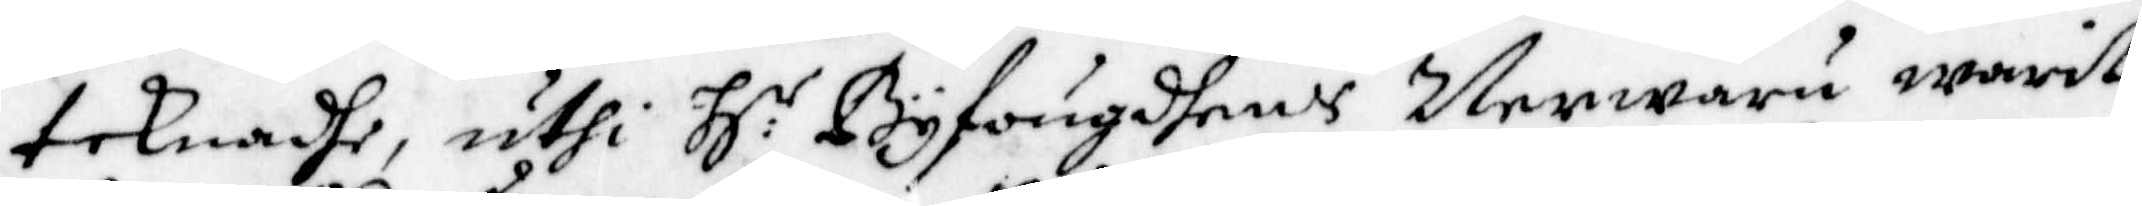teknadhe, uthi H:r Byfougdens Nerwaru warit
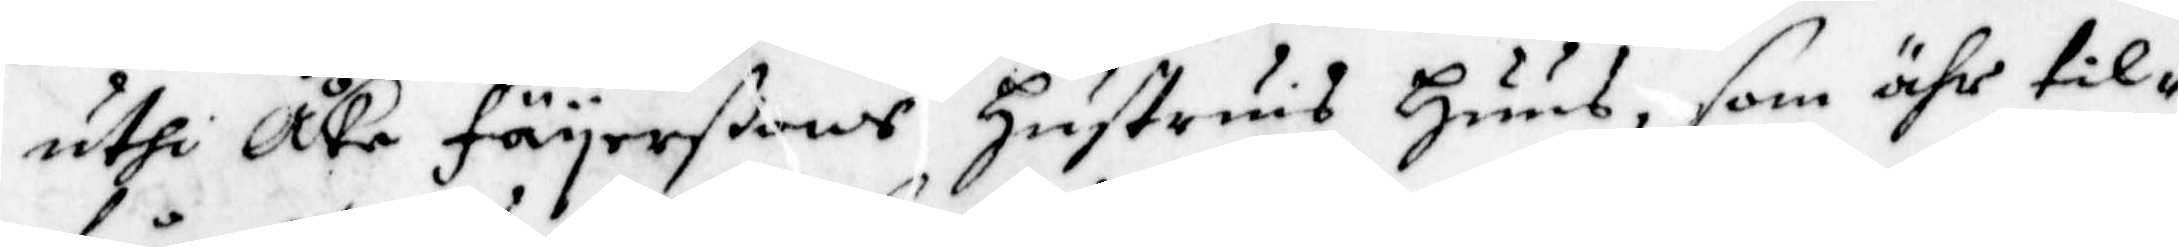uthi Åke Fäyerßons Hustrus Huus, som ähr til¬
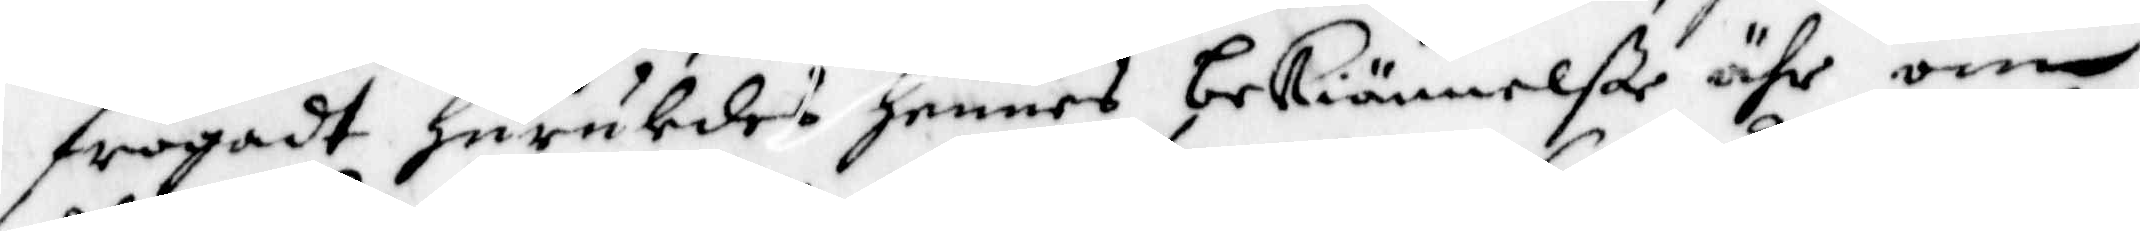frågadt huruledes hennes bekiännelße ähr om
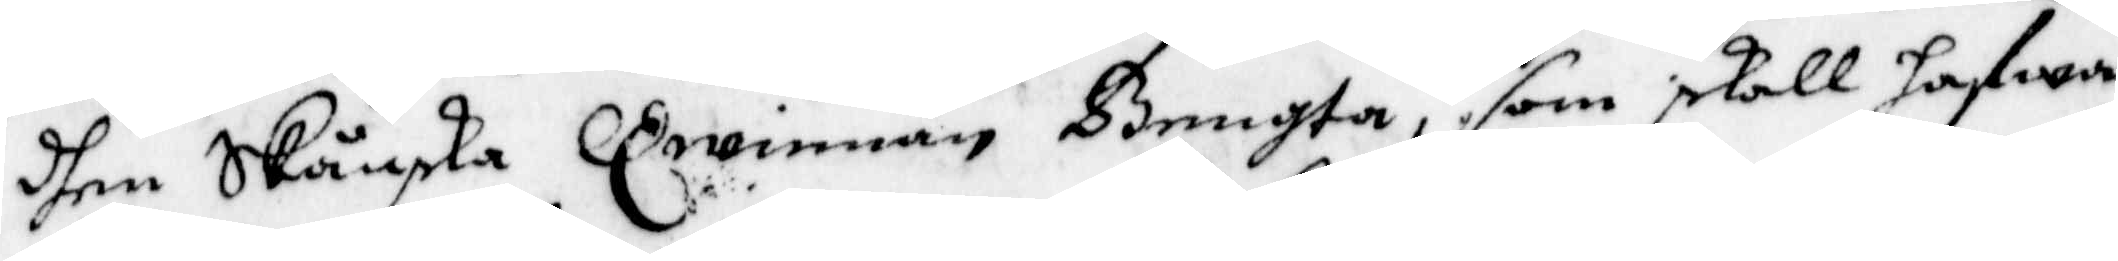dhen Skånka Qwinnan Bengta, som skall hafwa
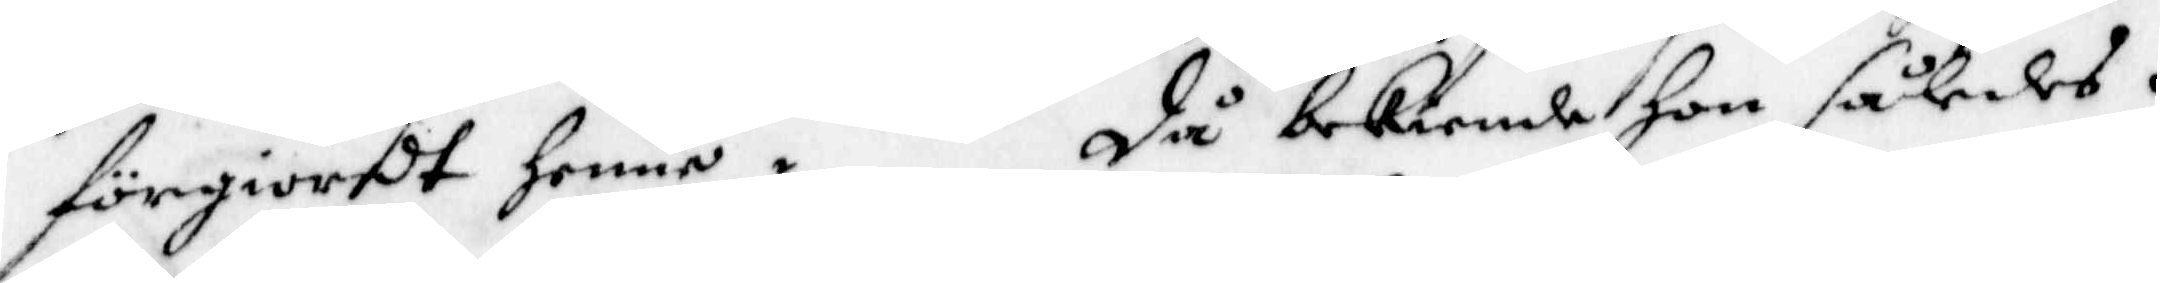förgiordt henne. Då bekiende hon således.
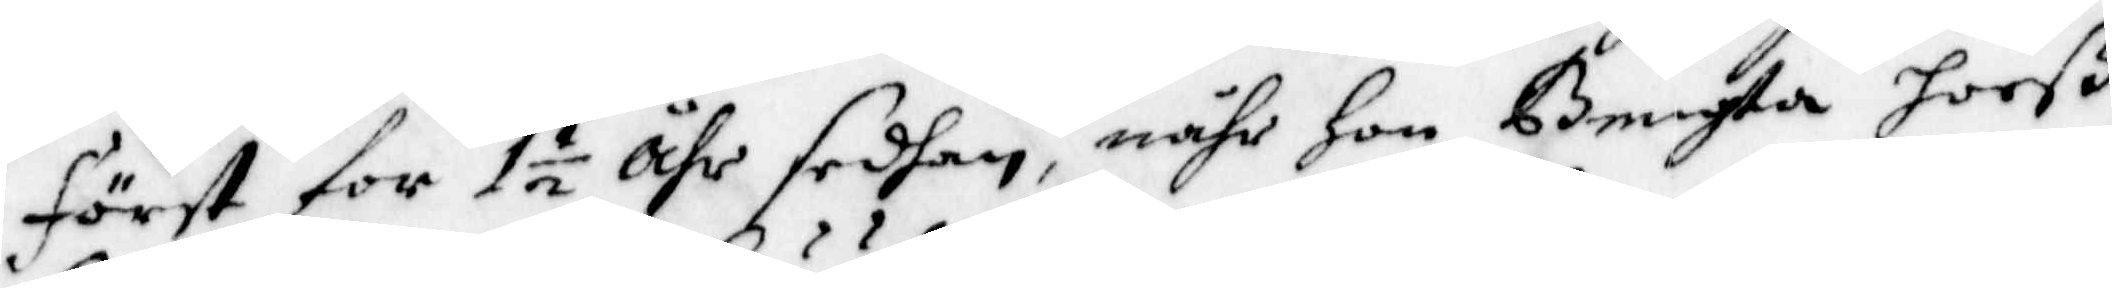först för 1½ åhr sedhan, nähr Hon Bengta hooß
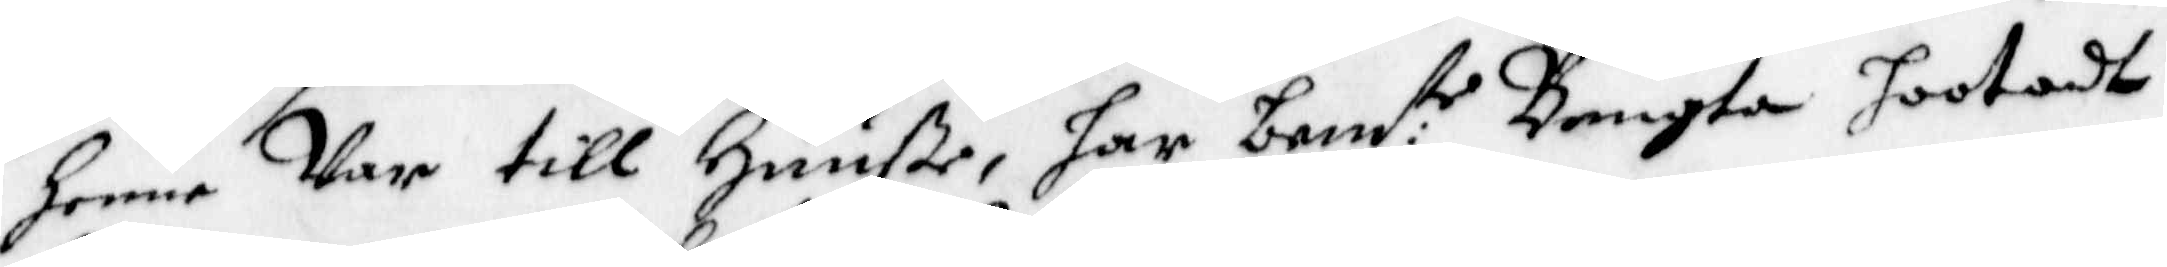henne Var till Huuße, har bem:te Bengta hootadt
